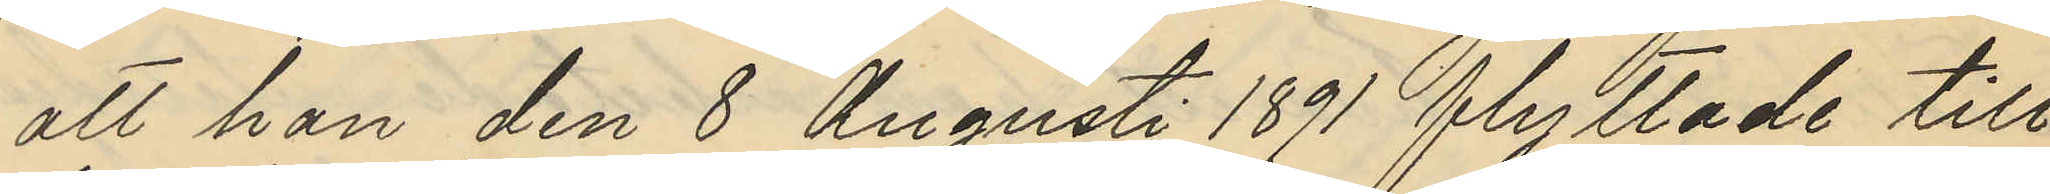att han den 8 Augusti 1891 flyttade till
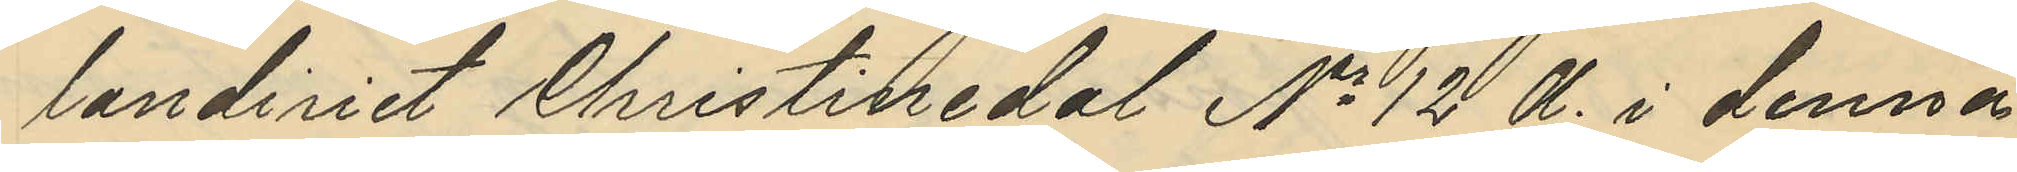landeriet Christinedal No 12 A i denna
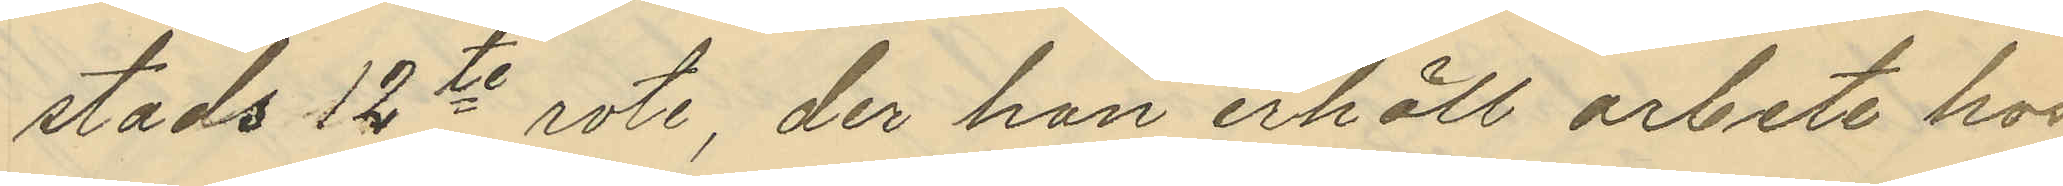stads 12te rote, der han erhöll arbete hos
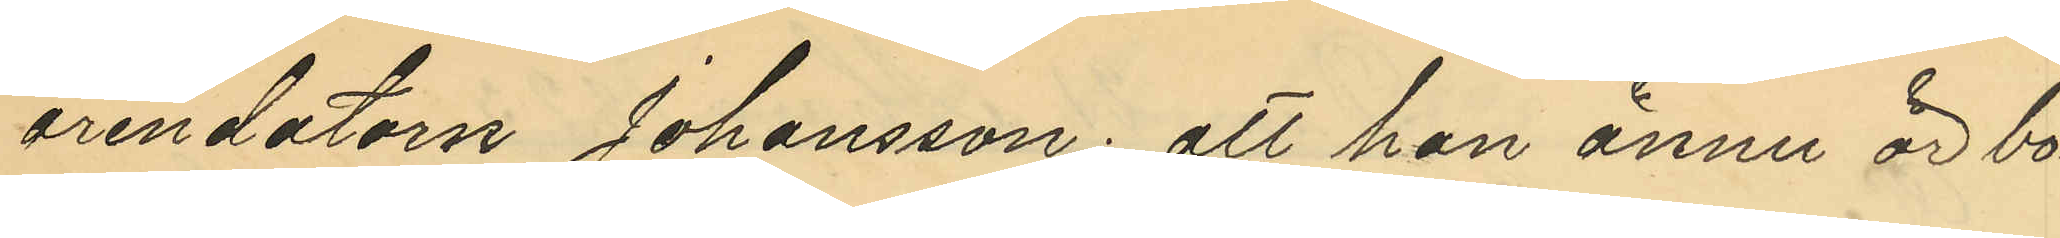arendatorn Johansson; att han ännu är bo¬
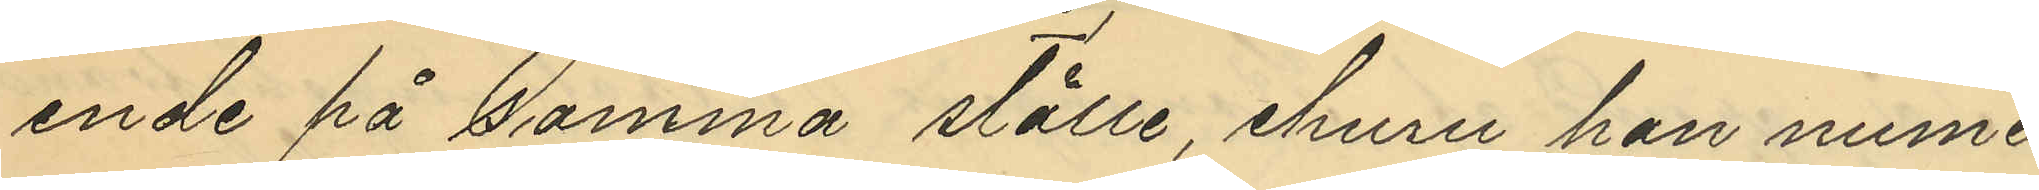ende på samma ställe, ehuru han nume¬
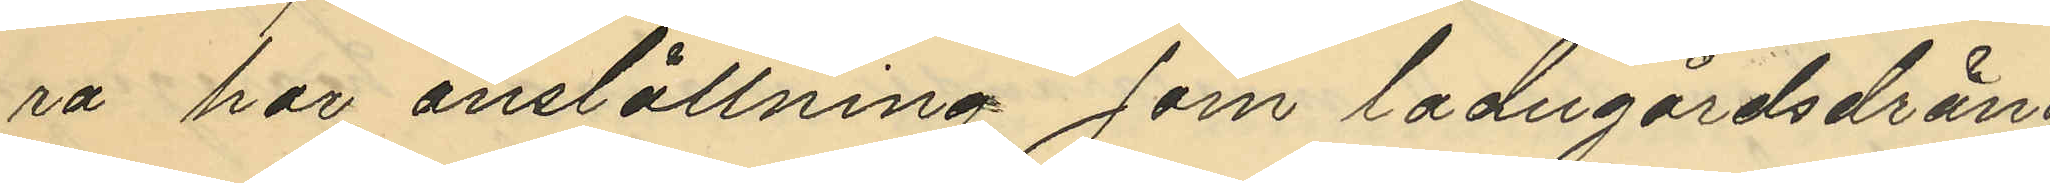ra har anställning som ladugårdsdräng
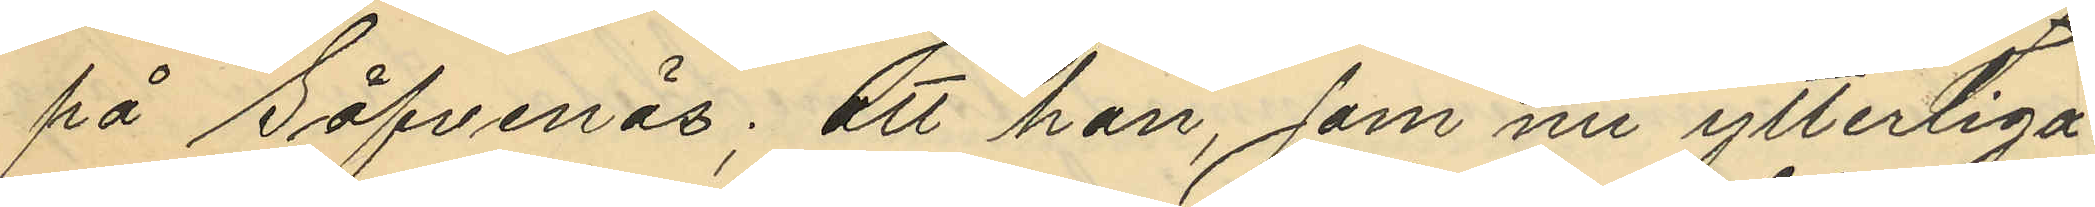på Säfvenäs; att han, som nu ytterliga¬
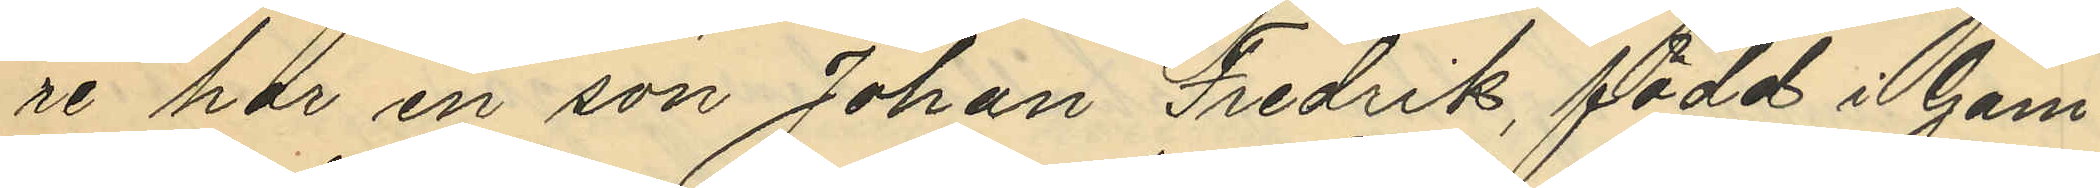re har en son Johan Fredrik, född i Gam¬
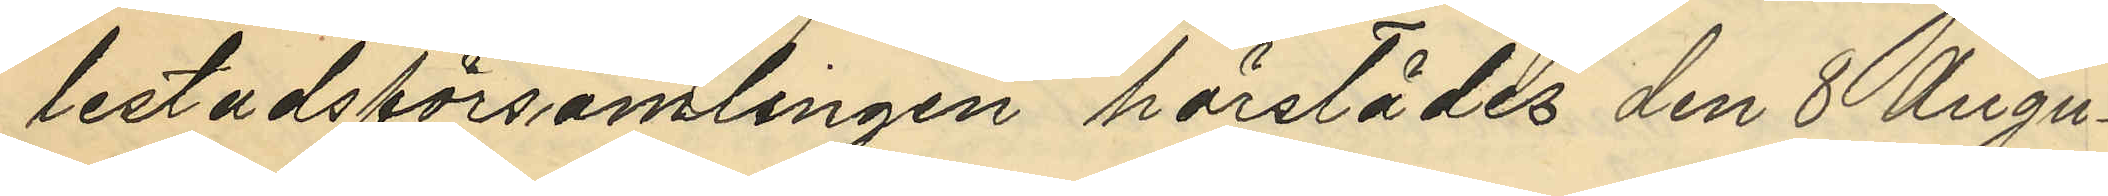lestadsförsamlingen härstädes den 8 Augu¬
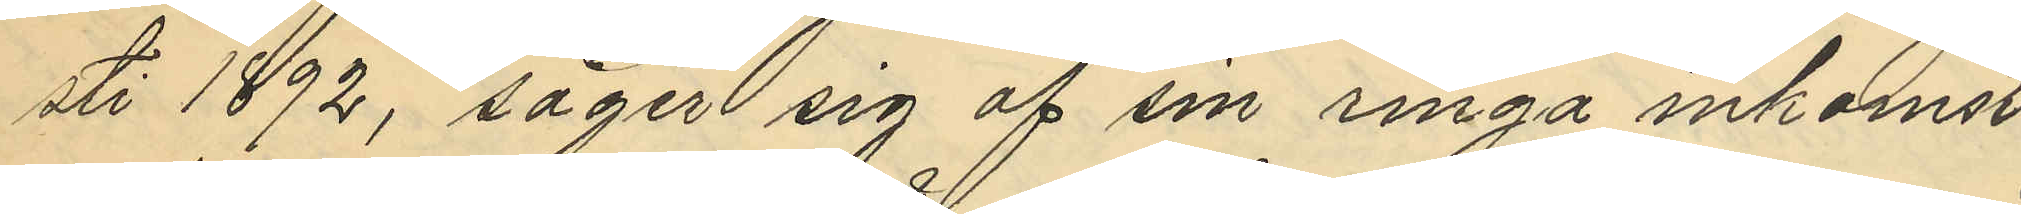sti 1892, säger sig af sin ringa inkomst
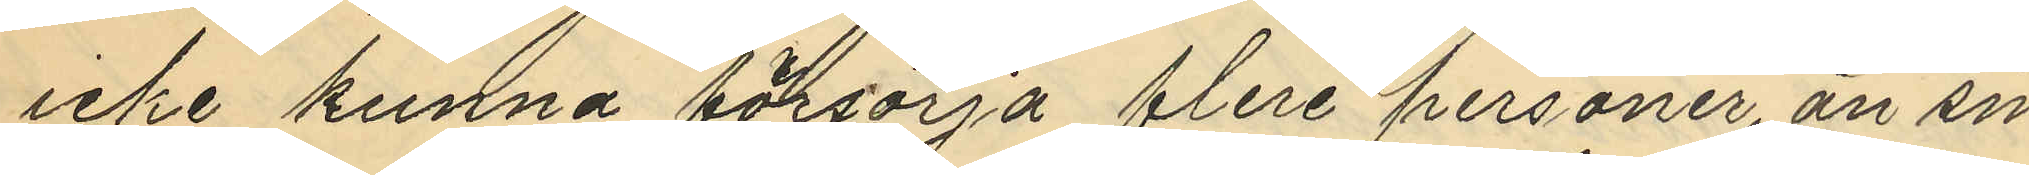icke kunna försörja flere personer än sin
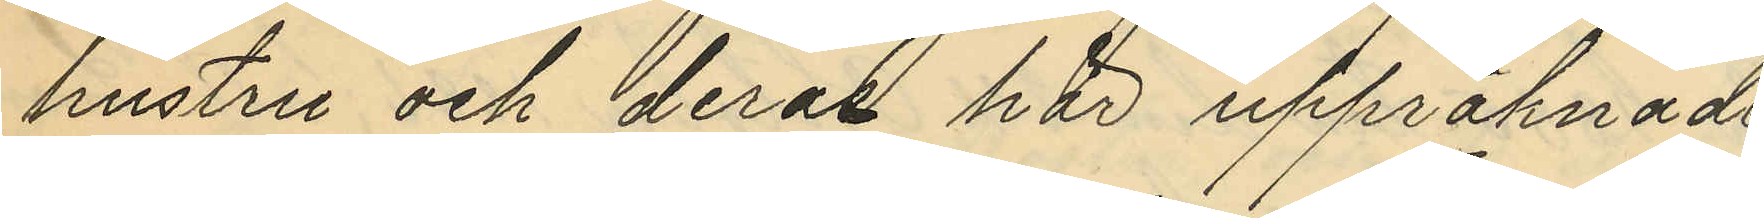hustru och deras här uppräknade
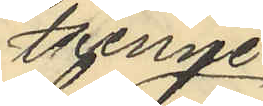trenne
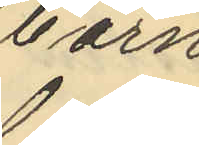barn;
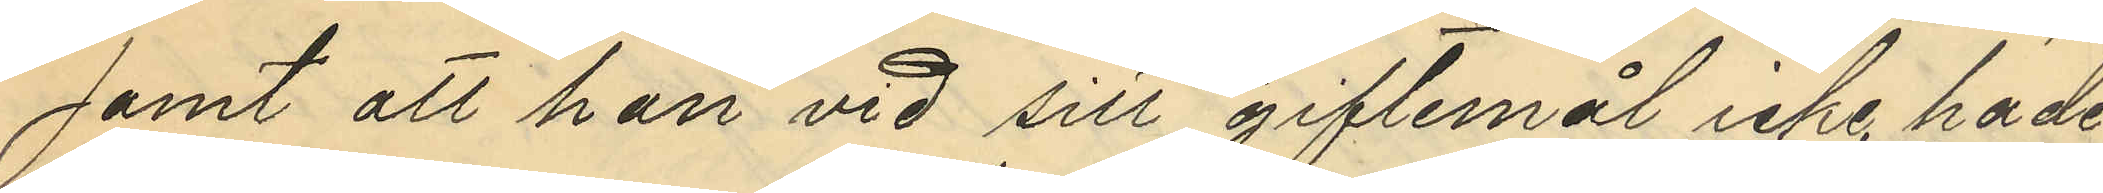samt att han vid sitt giftermål icke hade
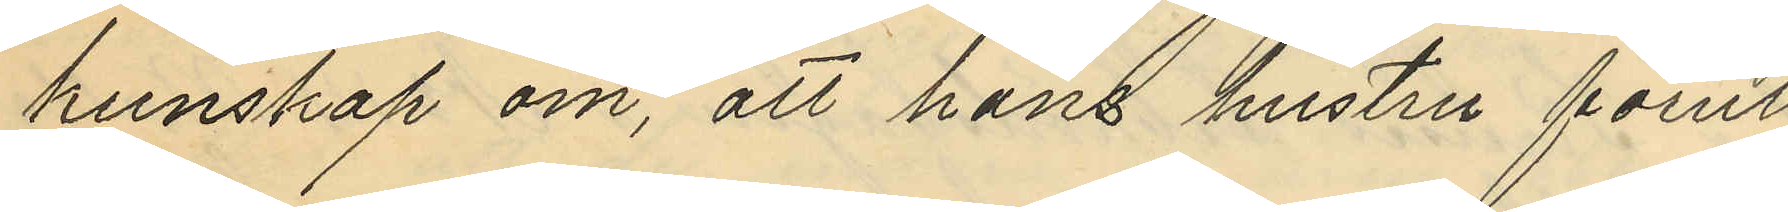kunskap om, att hans hustru förut
